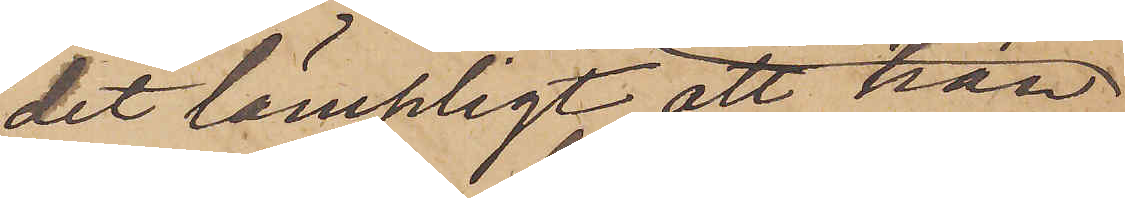det lämpligt, att han,
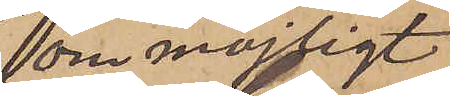om möjligt
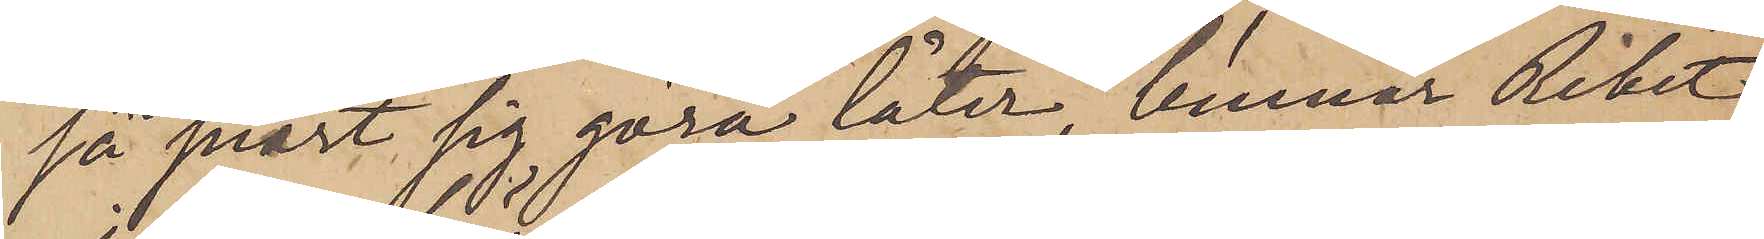så snart sig göra låter, lemnar Riket,
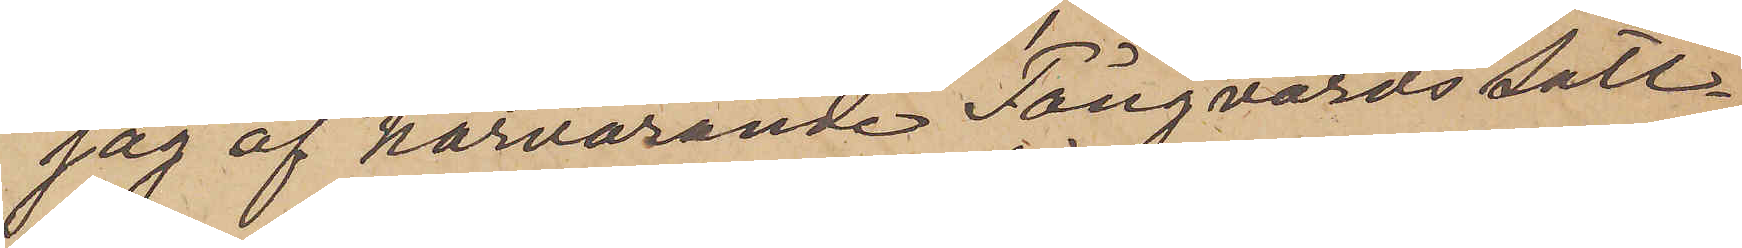jag af härvarande Fångvårds säll¬
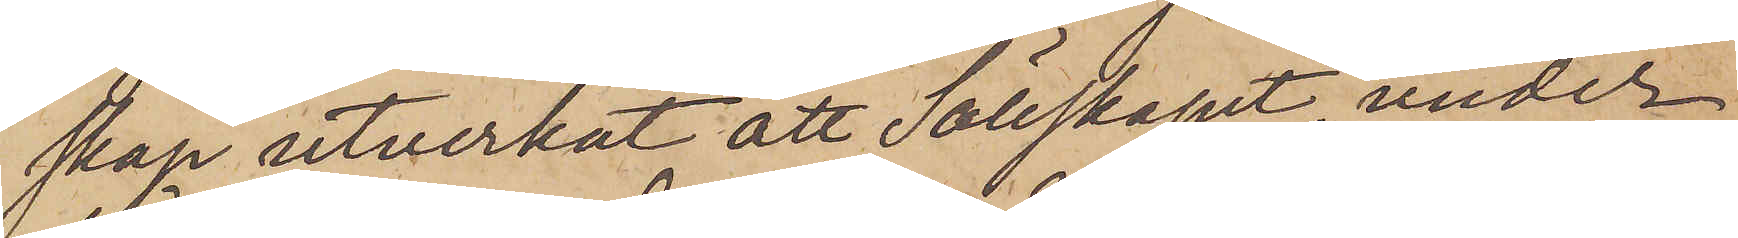skap utverkat att sällskapet, under
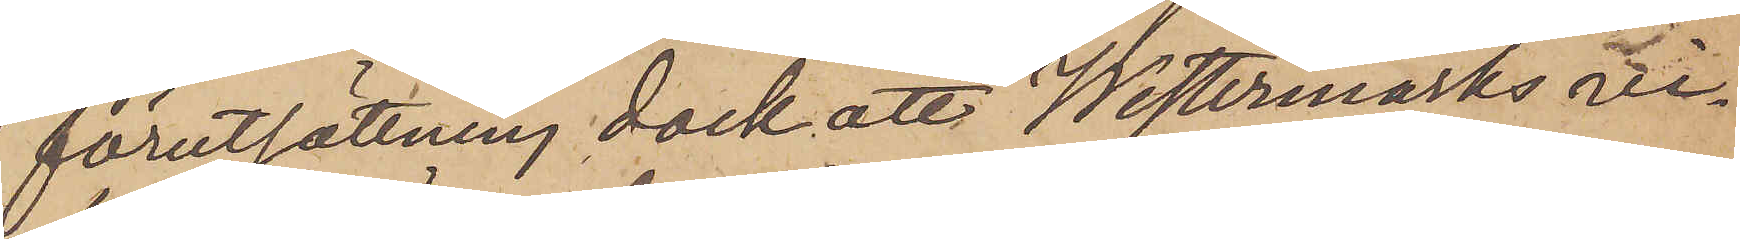förutsättning dock att Westermarks vi¬
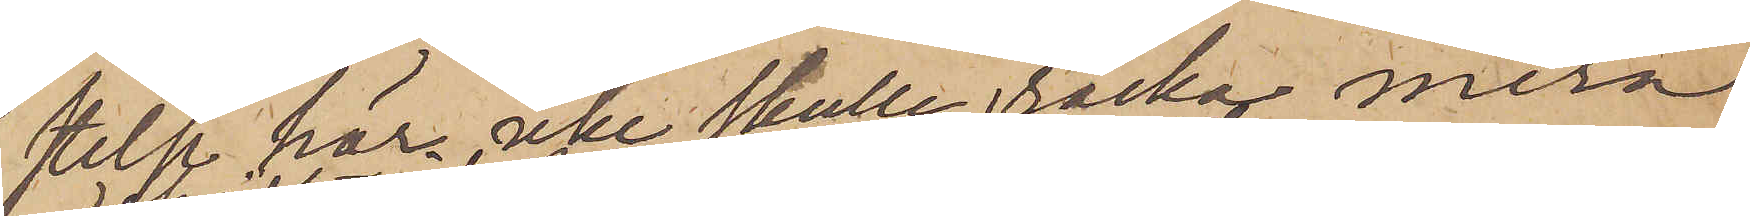selse här icke skulle räcka mera
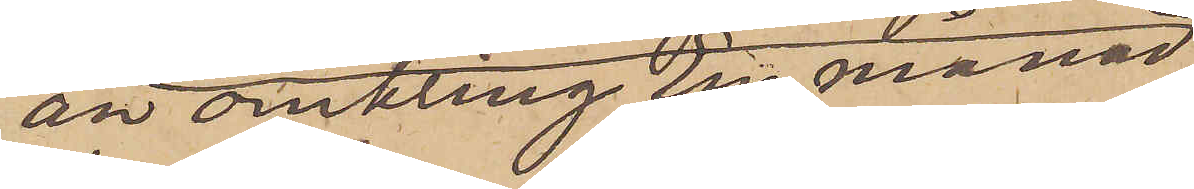än omkring en månad,
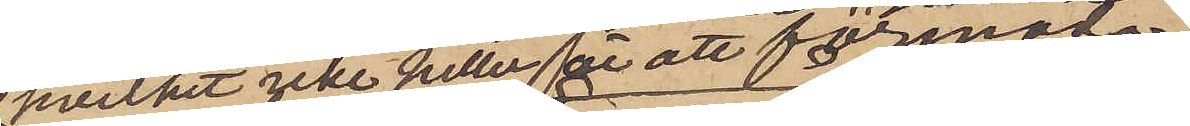hvilket icke heller är att förmoda,
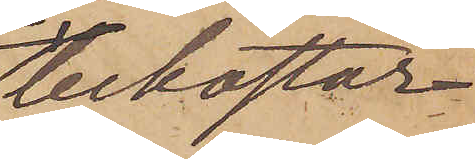bekostar
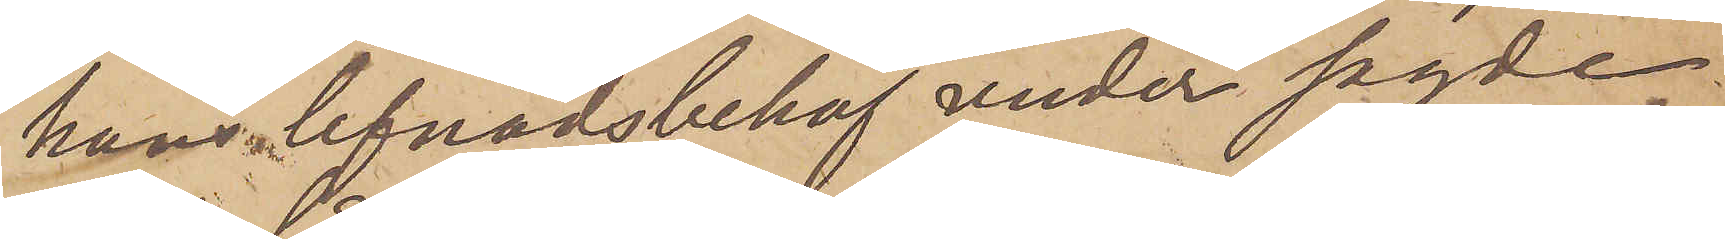hans lefnadsbehof under sagde
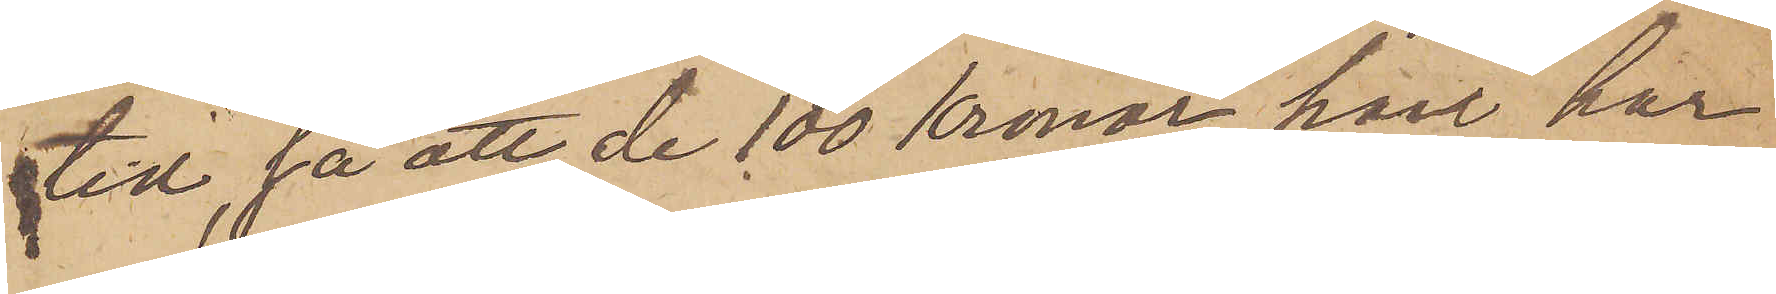tid, så att de 100 Kronor, han har
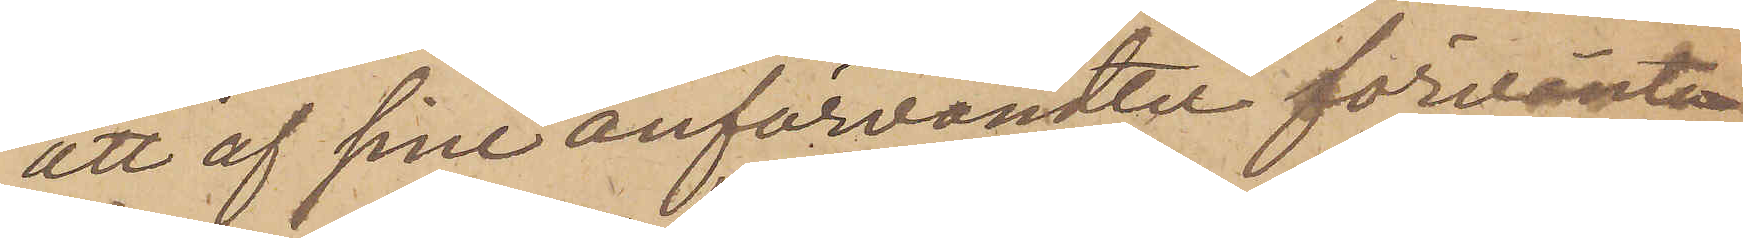att af sine anförvändt förvänta,
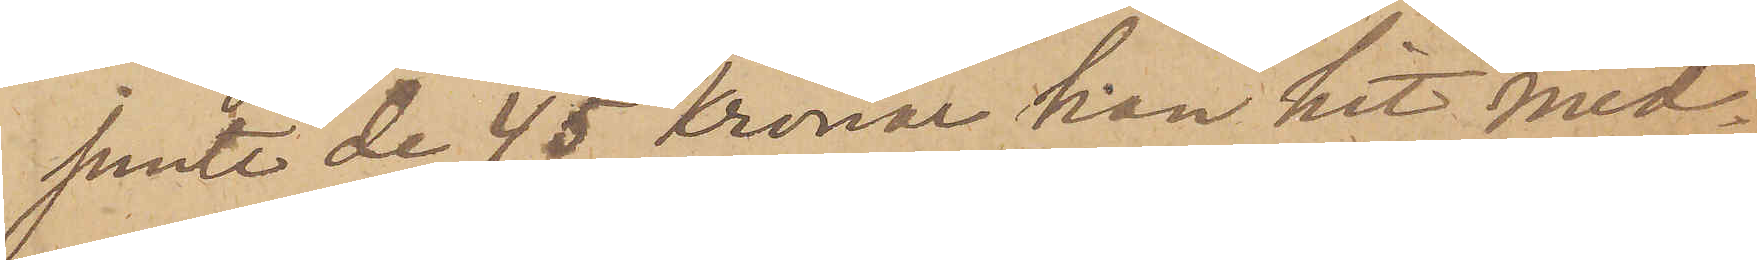jemte de 45 kronor han hit med¬
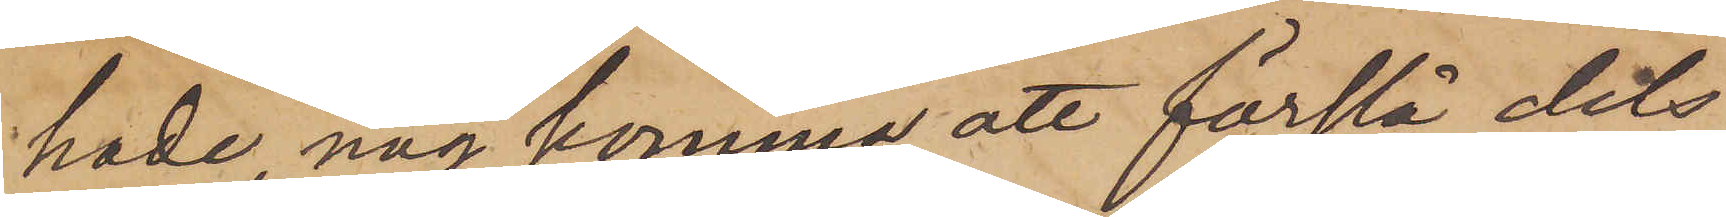hade nog komma att förslå dels
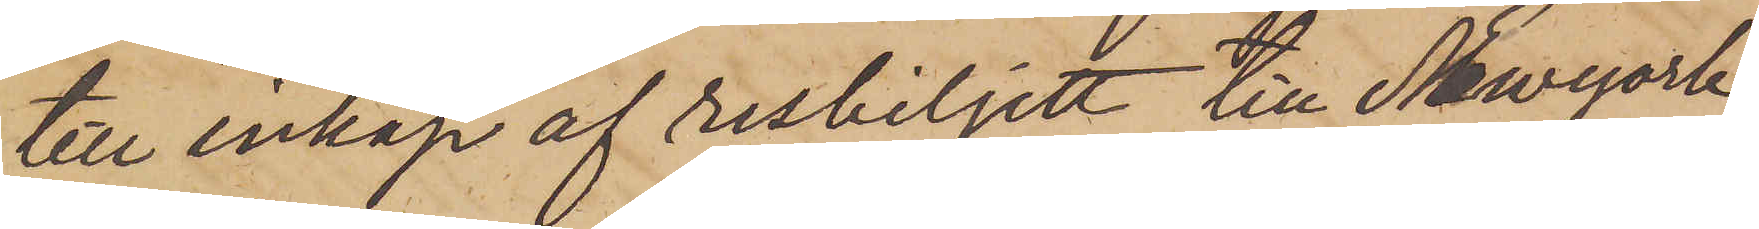till inköp af resbiljett till Newyork,
